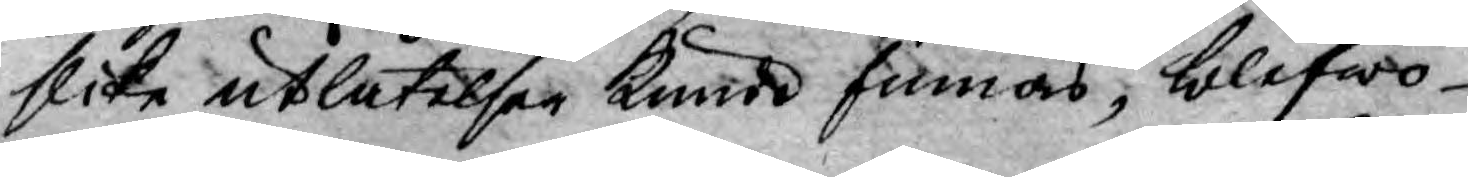slika utlåtelser kunde finnas, blefwo
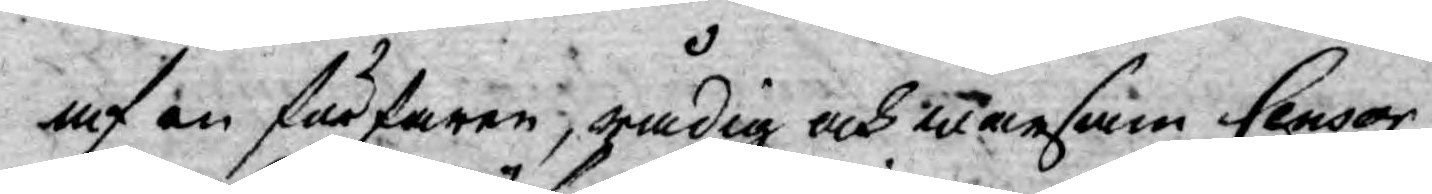af en förfaren, rådig och warsam Censor
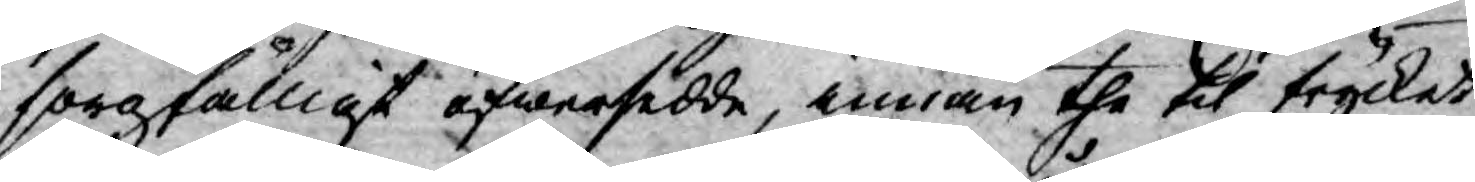sorgfälligt öfwersedde, innan the til trycket
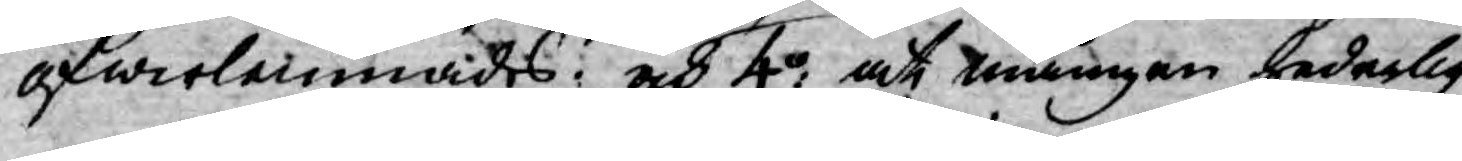öfwerlemnades: och 4o: at mången hederlig
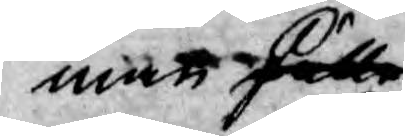man skulle
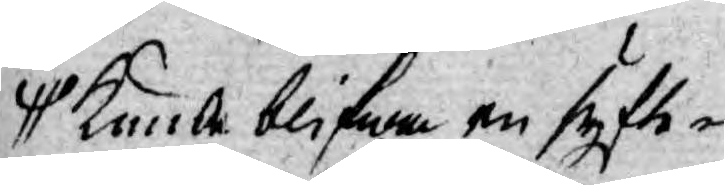kunde blifwa en syfte¬
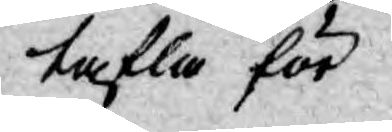tafla för
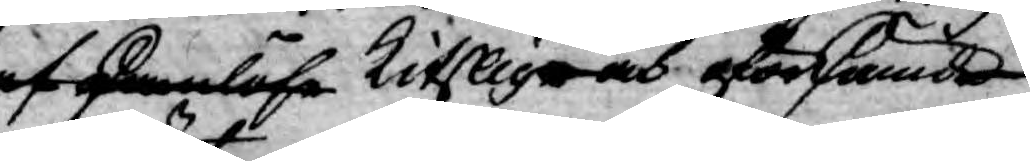af skamlösa, kitsliga och oförskämde
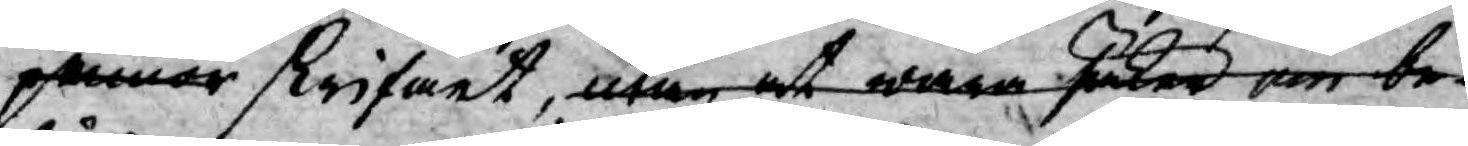pennor skrifwet, utan at ware säker om be¬
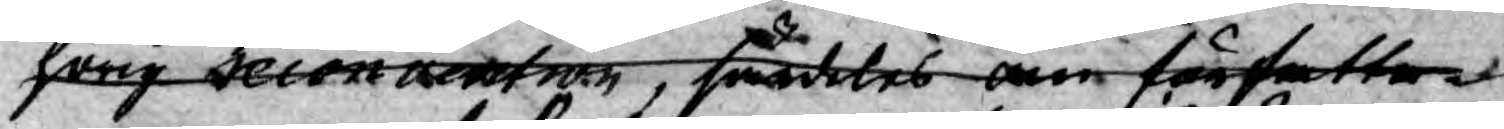hörig recomention särdeles om författa¬
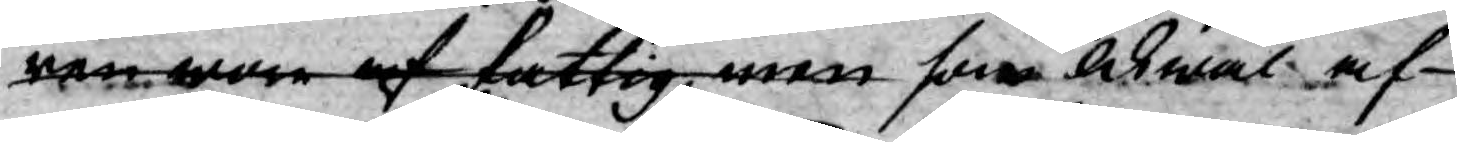ren af fattig men som likwäl af
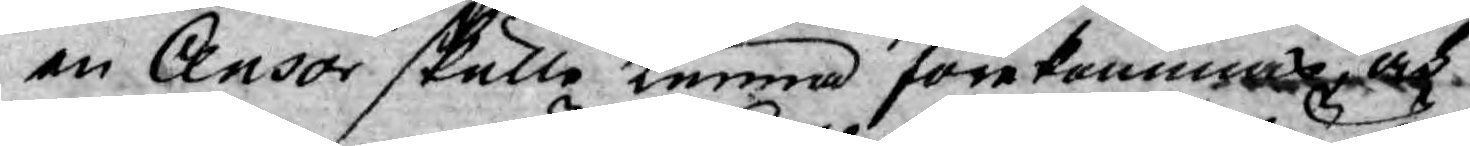en Censor skulle kunna förekomma och
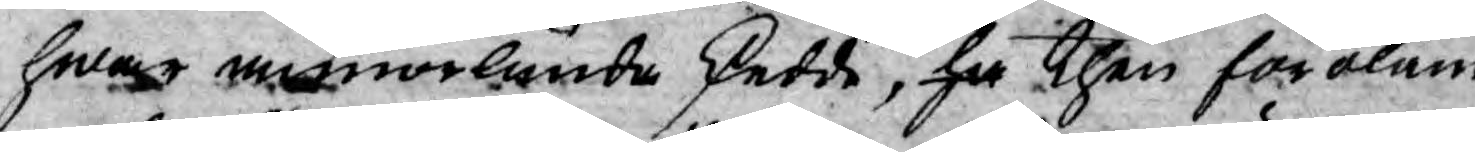hwar annorlunda skedde, ha then föroläm¬
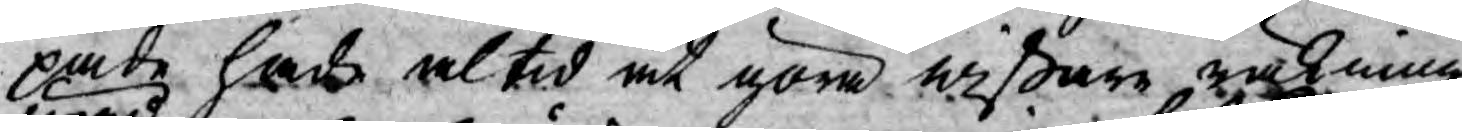pade hade altid at göra wißare räkning
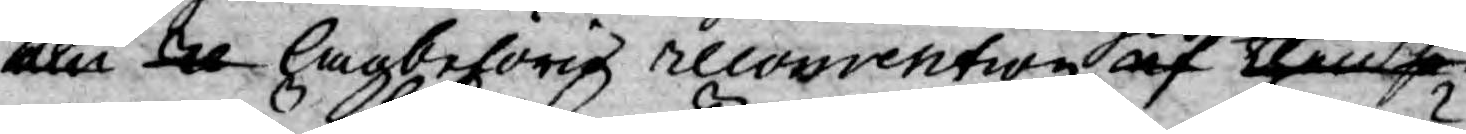uppå en re lagbehörig recomention af then se¬
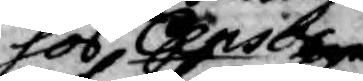hos Censor
